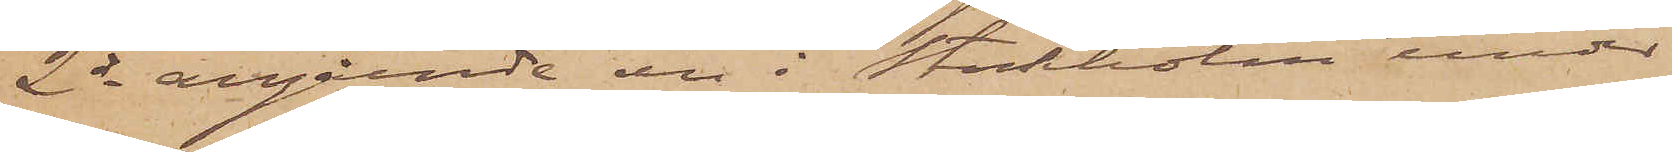2 ds angående en i Stockholm under
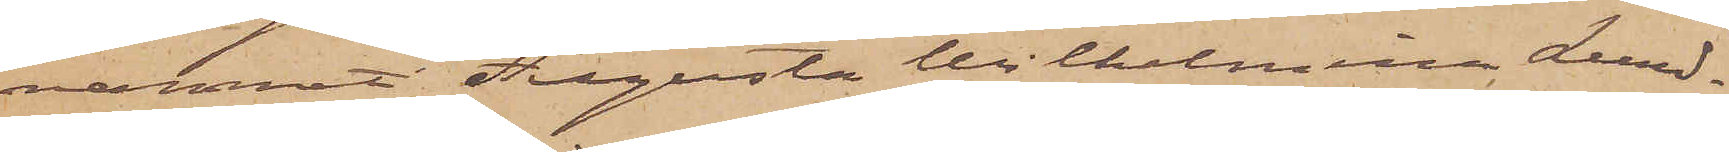namnet Augusta Wilhelmina Lund¬
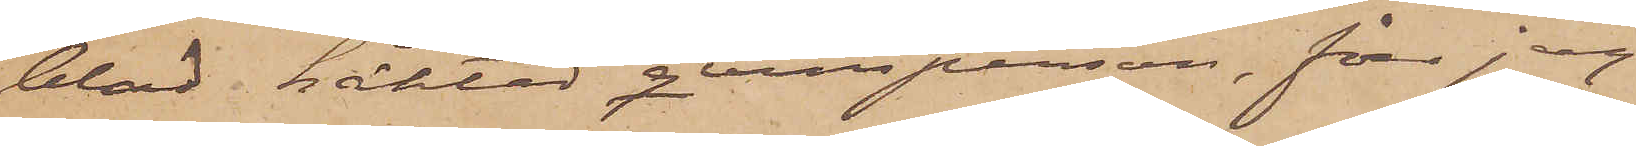blad häktad qvinsperson, får jag
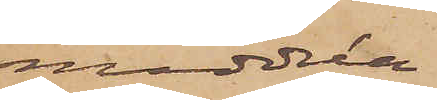meddela
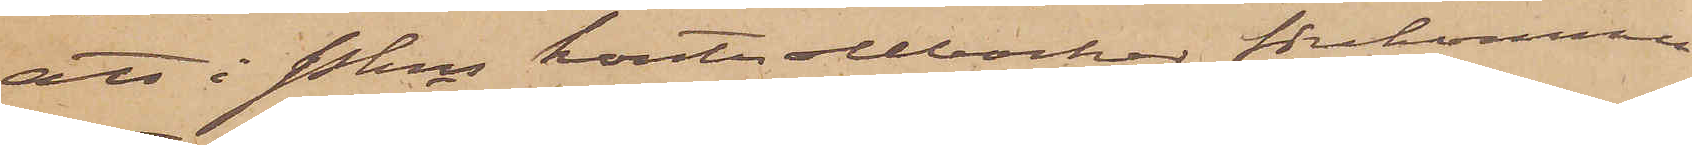att i Pkns kontollböcker förekommer
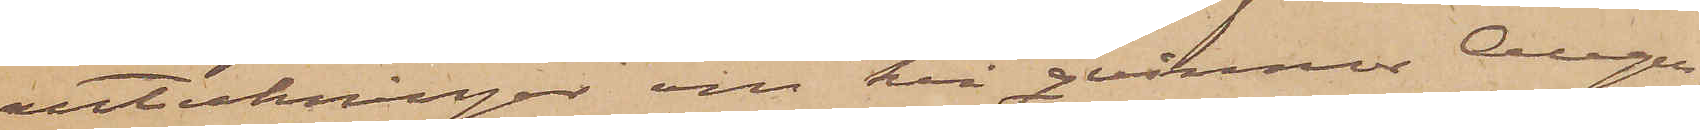anteckningar om två qvinnor Augu¬
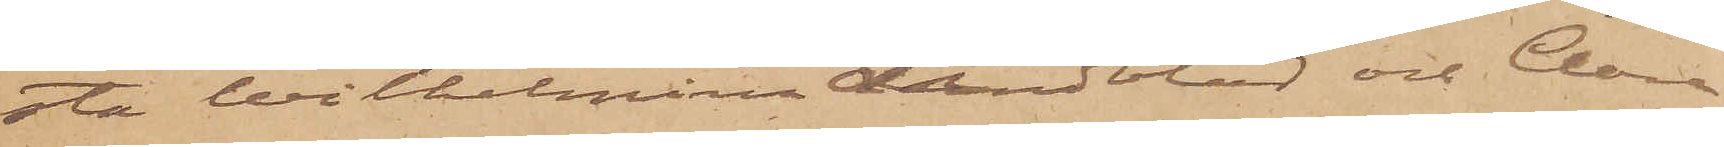sta Wilhelmina Lindblad och Clara
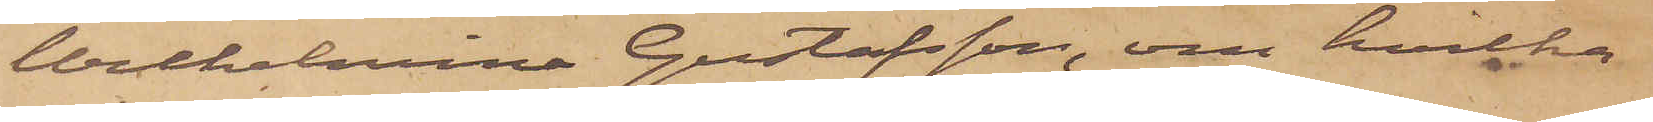Wilhelmina Gustafsson, om hvilka
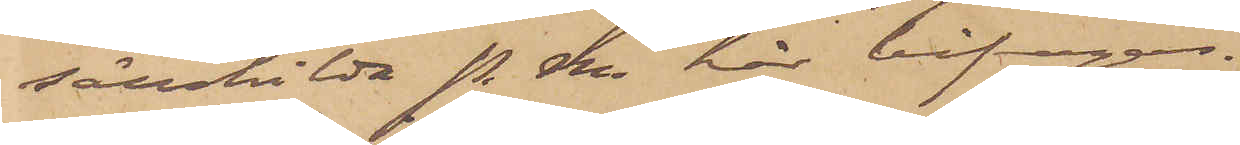särskilda P. M. här bifogas.
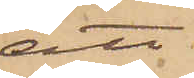att
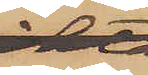om
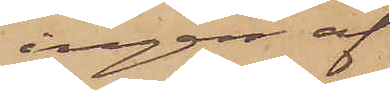ingen af
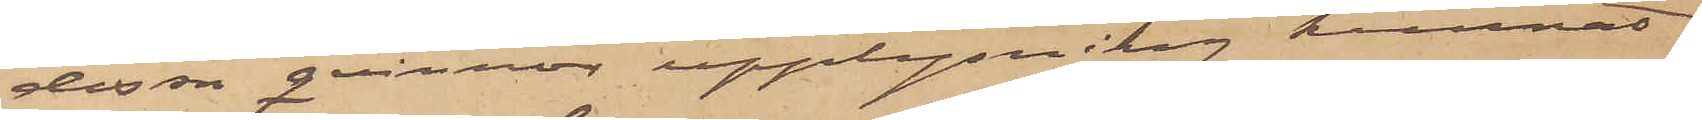dessa qvinnor upplysning kunnat
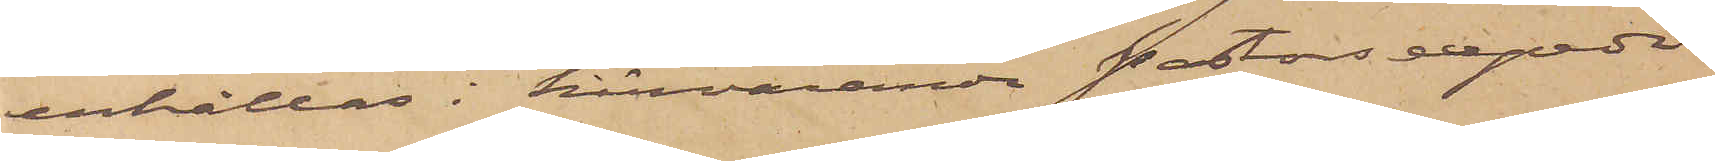erhållas i härvarande Pastorsexpedi¬
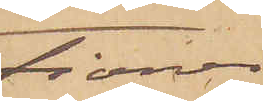tioner;
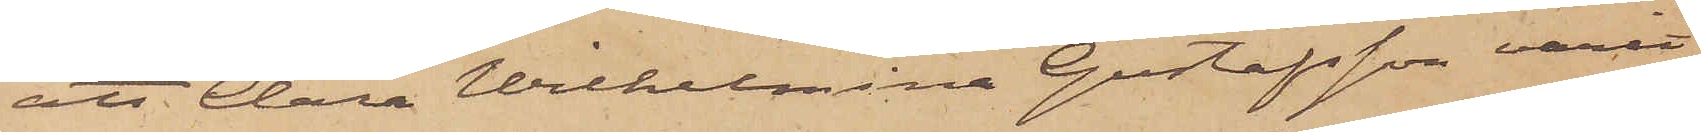att Clara Wilhelmina Gustafsson varit
